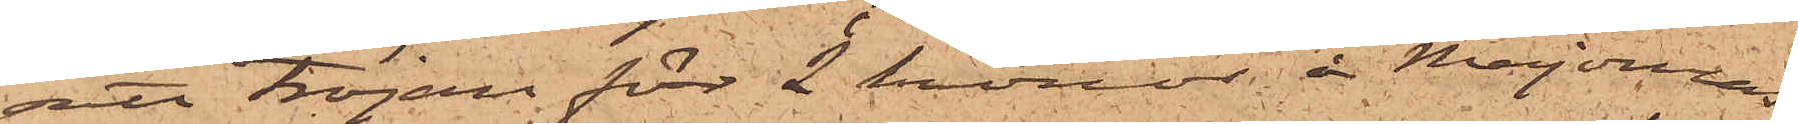satt tröjan för 2 kronor å Majornas
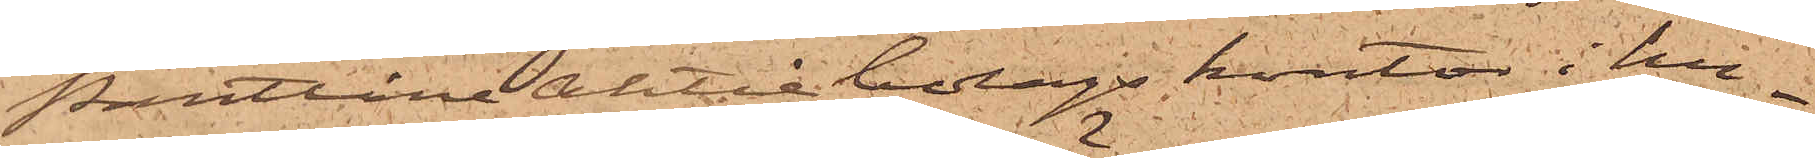Pantlåne Aktie bolags kontor i hu¬
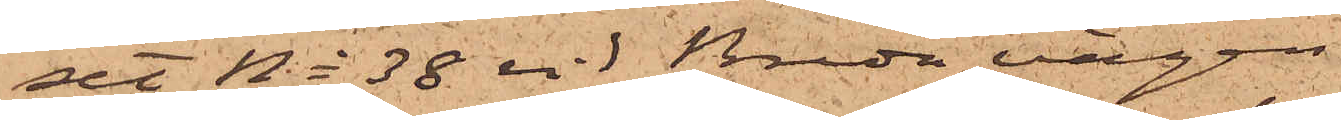set No 38 vid Breda vägen.
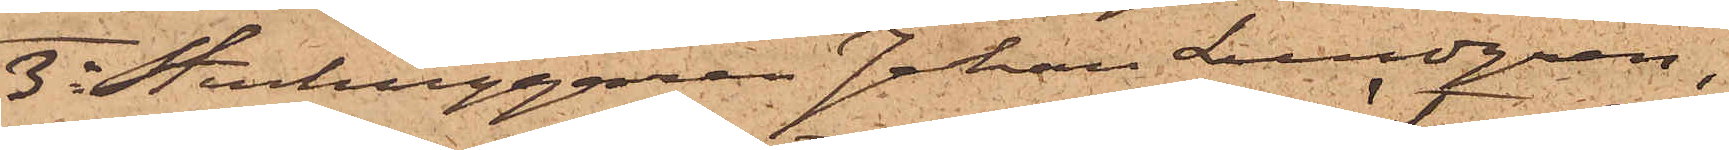3o Stenhuggaren Johan Lundgren,
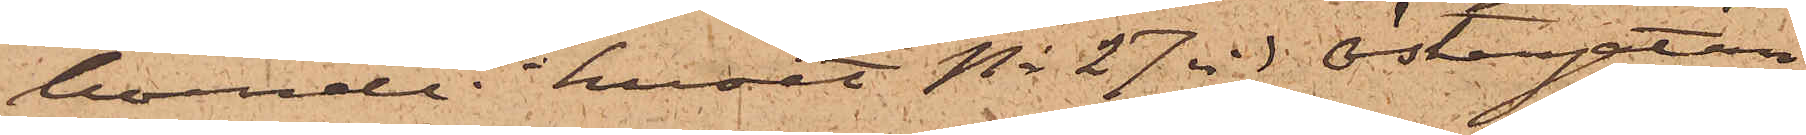boende i huset No 27 vid Östergatan,
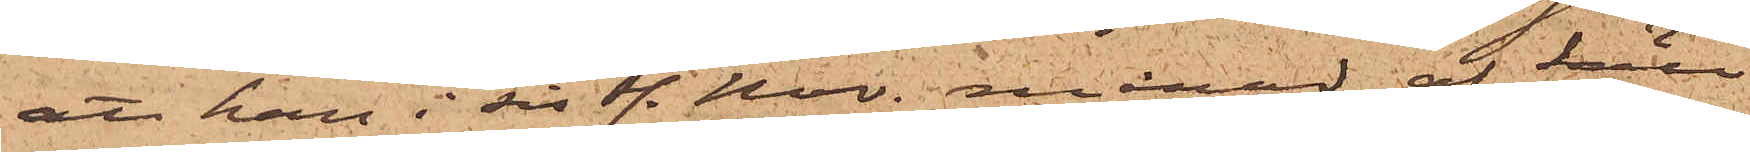att han i sistl. Nov. månad af Säll
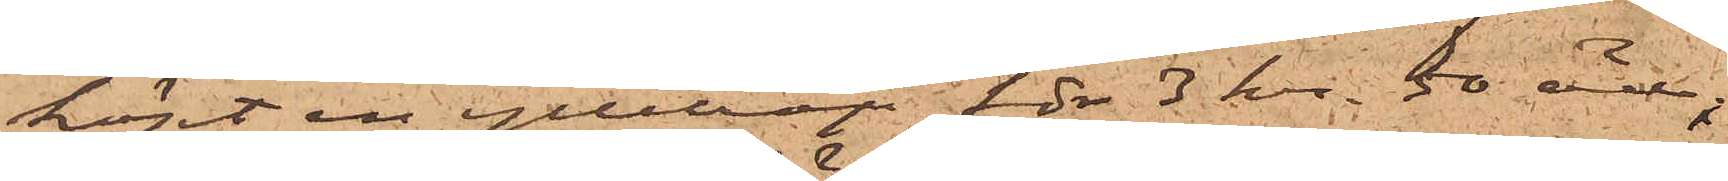köpt en ylletröja för 3 kr. 50 öre;
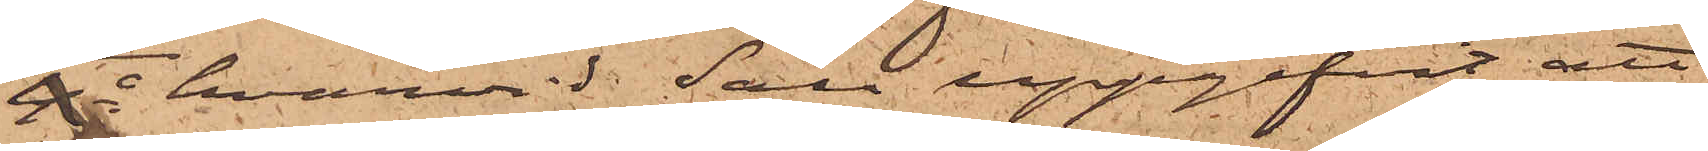4o hvarvid Säll uppgifvit, att
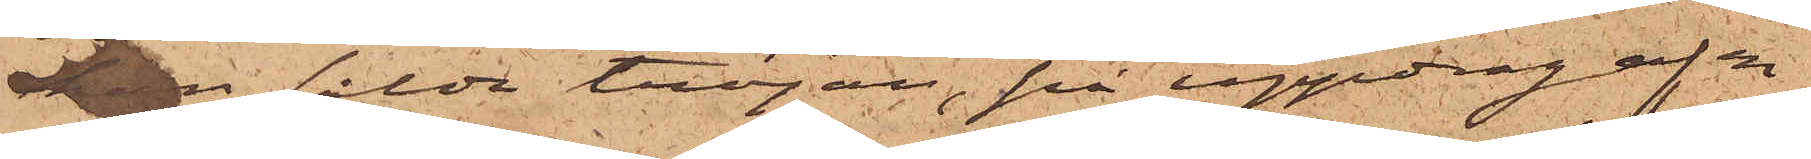han sålde tröjan, på uppdrag af en
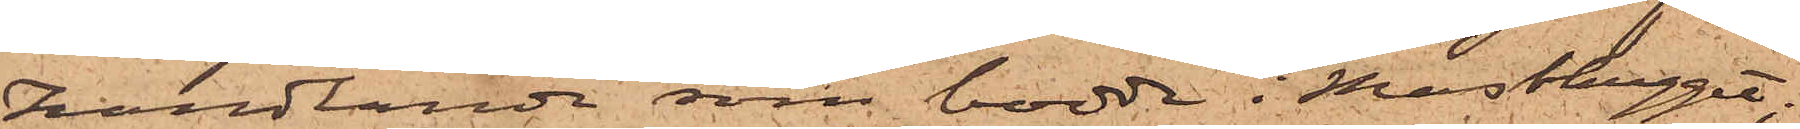handlande som bodde i Masthugget;
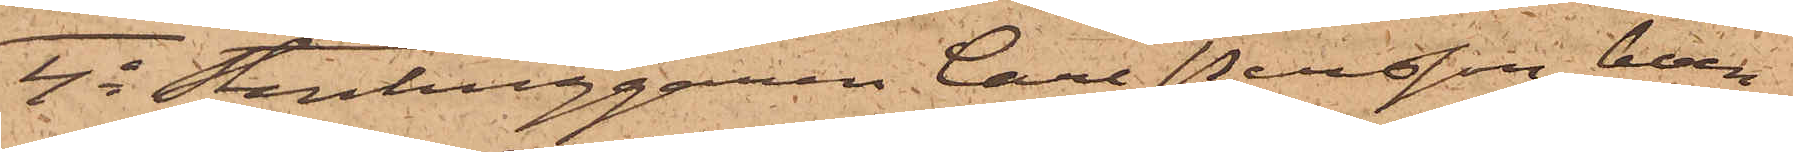4o Stenhuggaren Carl Persson, boen¬
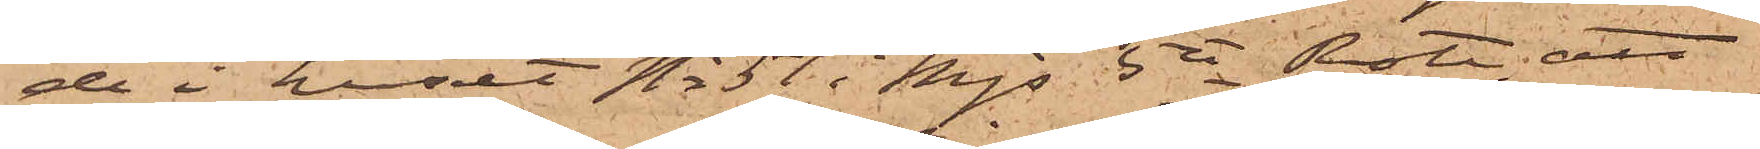de i huset No 51 i Mjs 5te Rote, att
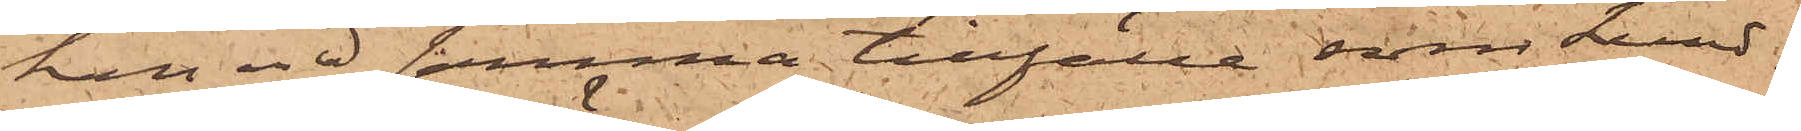han vid samma tillfälle, som Lund¬
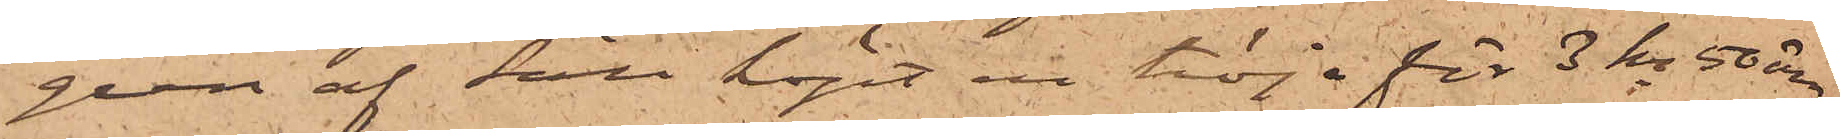gren af Säll köpt en tröja för 3 kr 50 öre,
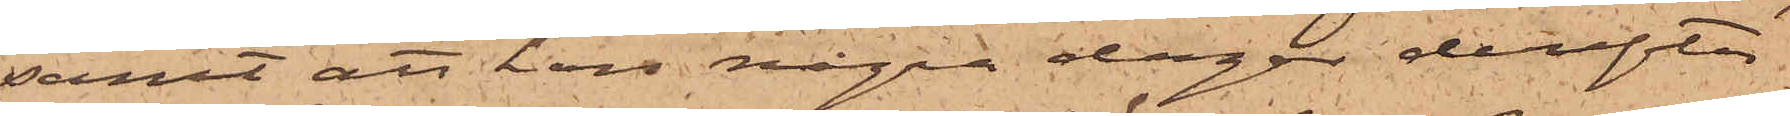samt att han några dagar derefter
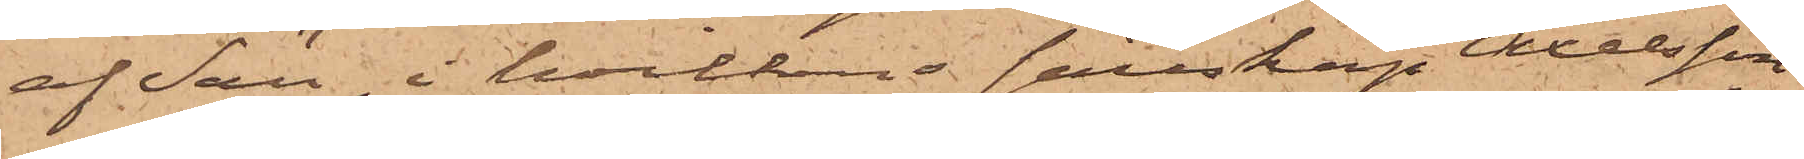af Säll, i hvilkens sällskap Axelsson
